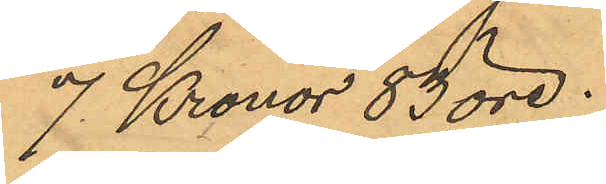7 Kronor 83 öre.
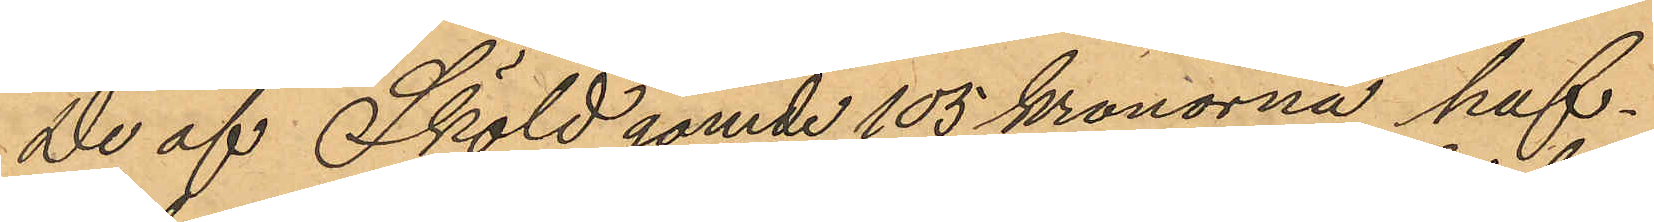De af Sköld gömde 105 kronorna haf¬
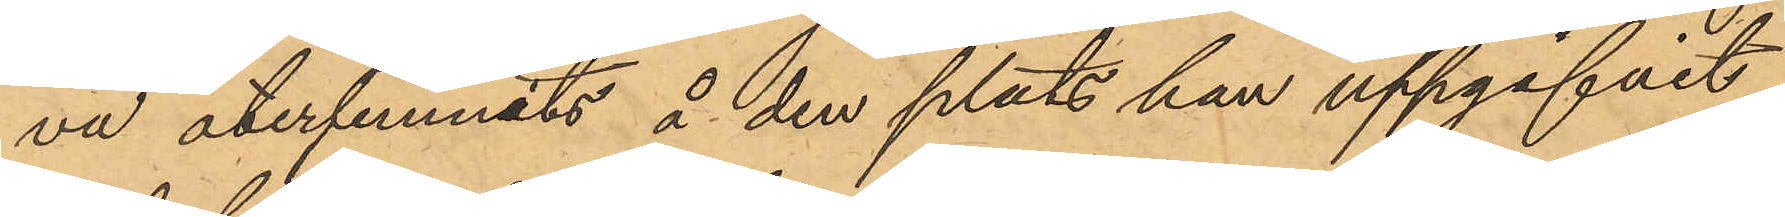va återfunnits å den plats han uppgifvit
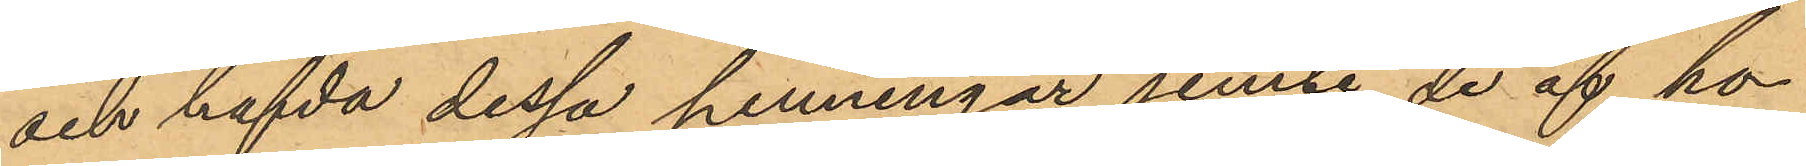och hafda dessa penningar jemte de af ho¬
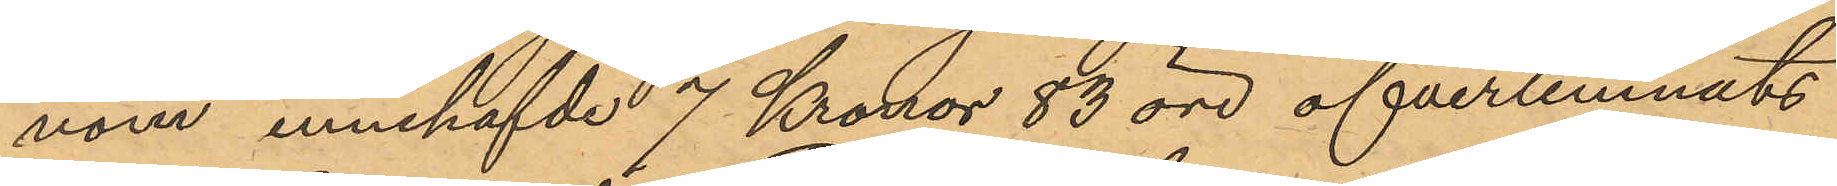nom innehafvde 7 Kronor 83 öre öfverlemnats
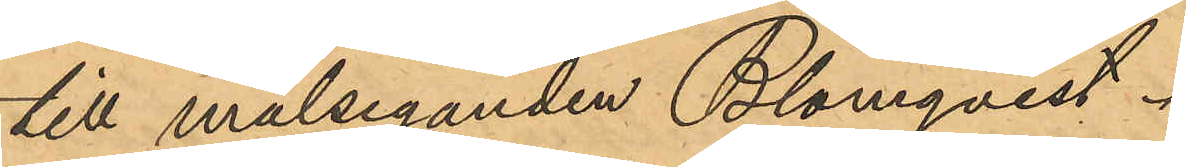till målseganden Blomqvist.
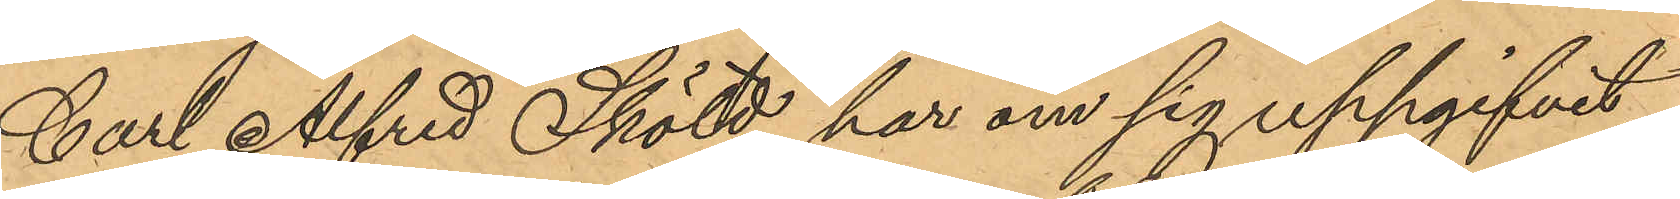Carl Alfred Sköld har om sig uppgifvit,
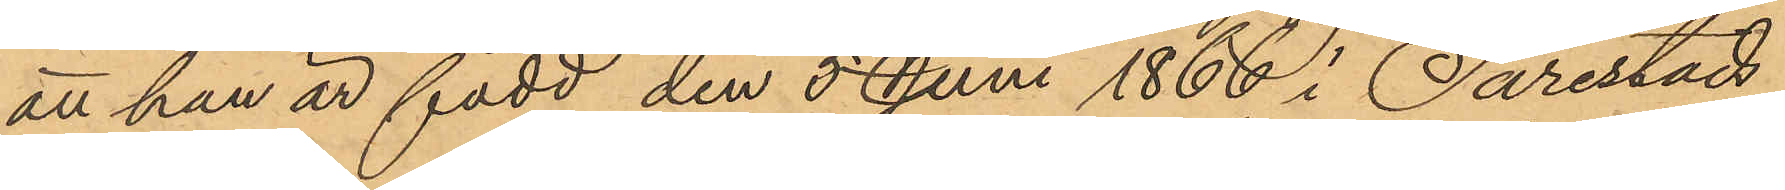att han är född den 5 Juni 1866 i Särestad
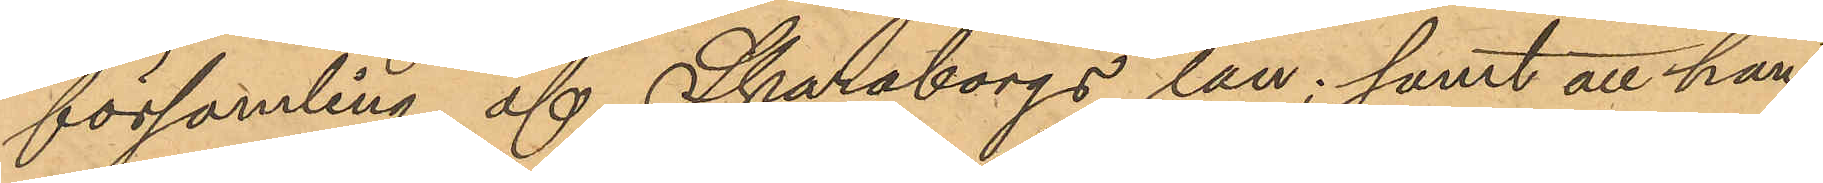församling af Skaraborgs län; samt att han
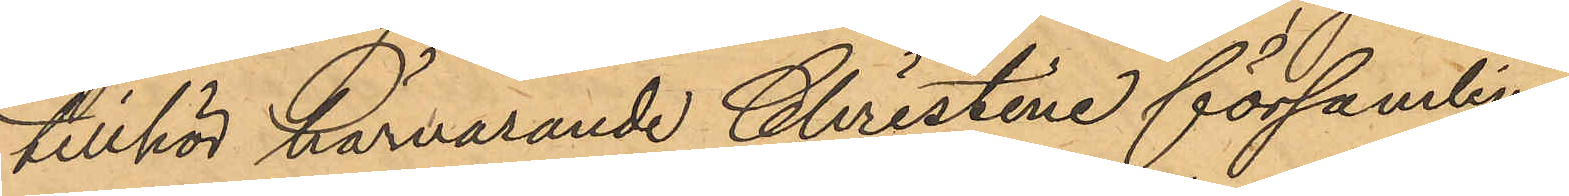tillhör härvarande Christine församling.
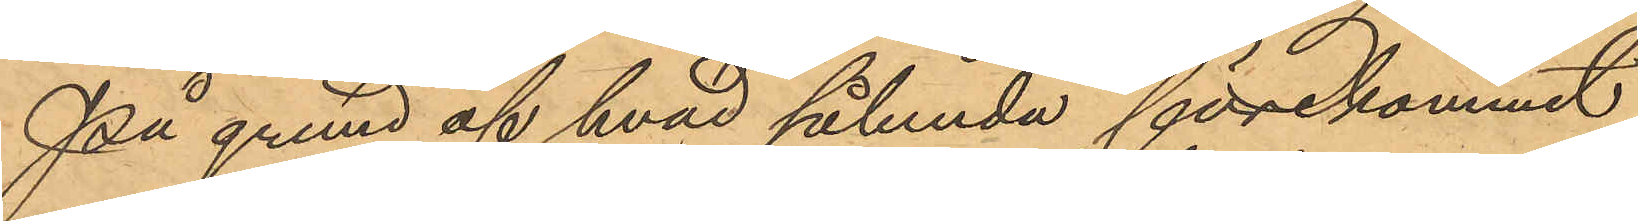På grund af hvad sålunda förrekommit
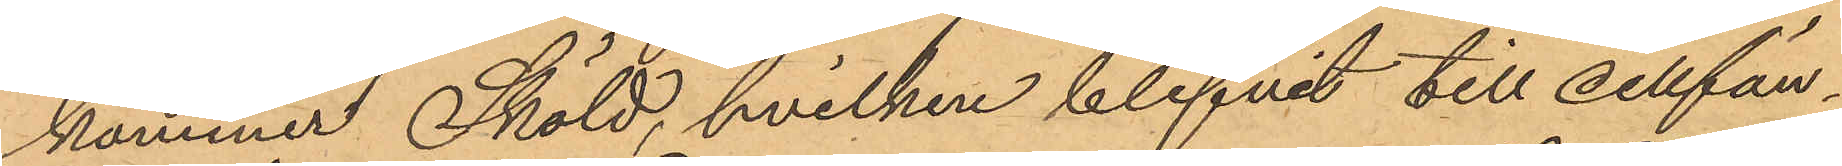kommer Sköld, hvilken blifvit till cellfän¬
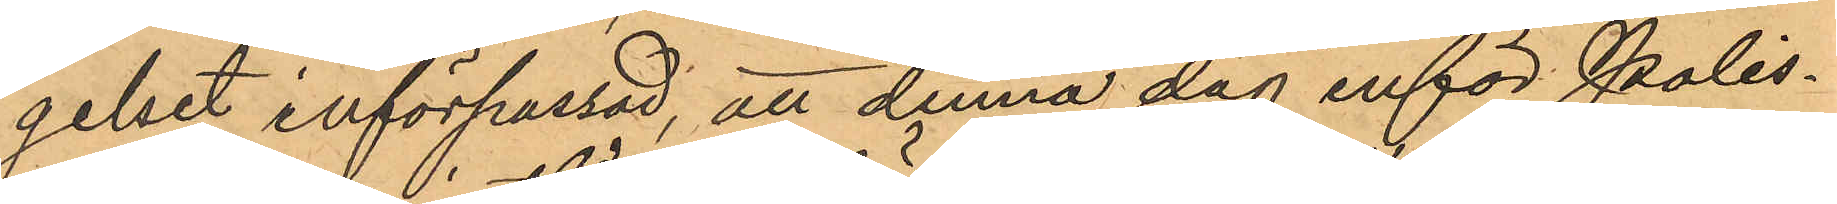gelset införpassad, att denna dag inför Polis¬
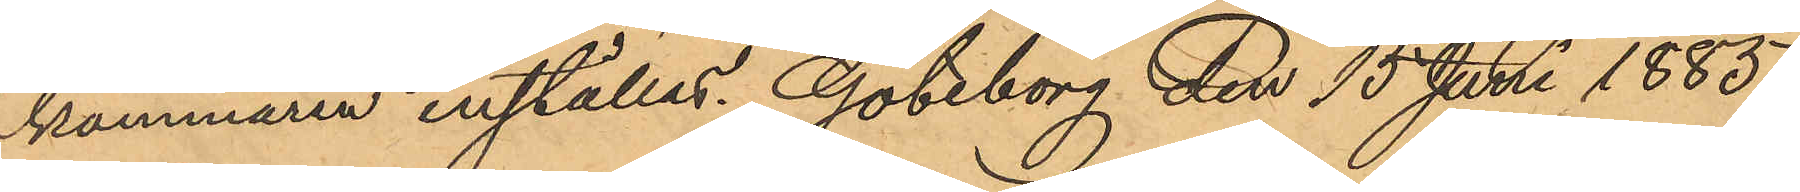kammaren inställas. Göteborg den 15 Juni 1885.
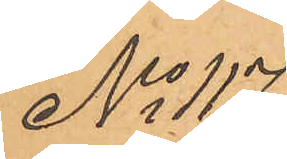No 117
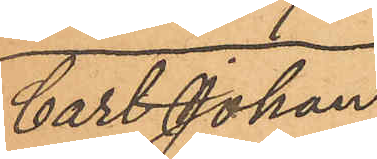Cart Johan
